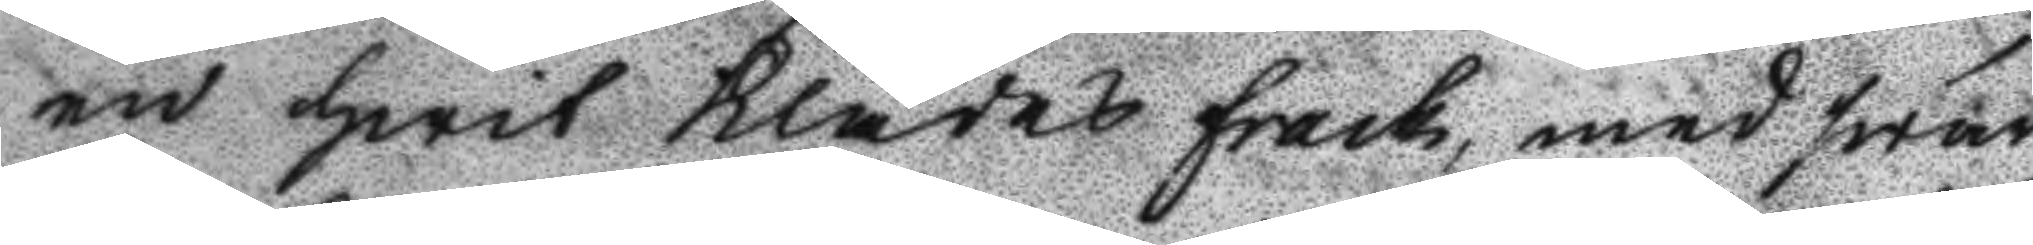en hwit Klädes frack, med swar¬
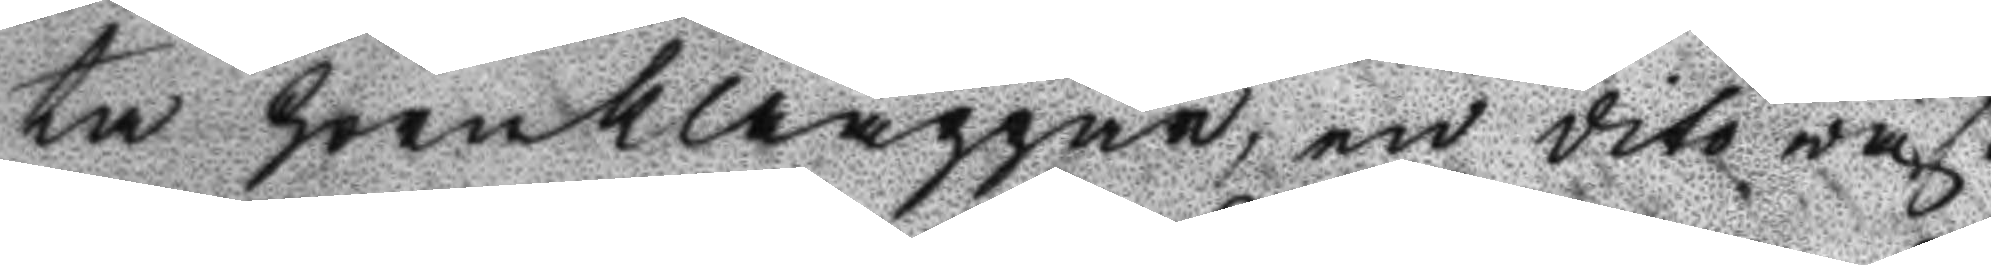ta hornklaappar, en dito wäst
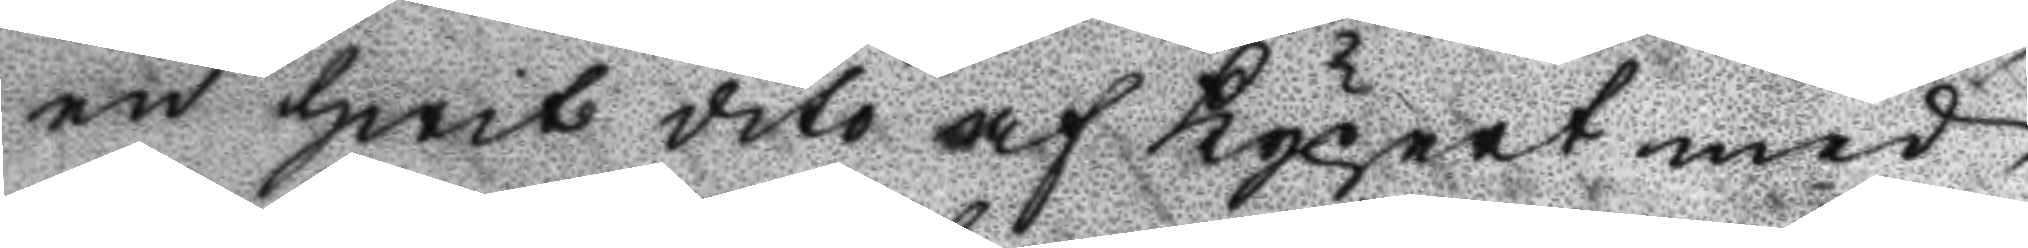en hwit dito af Kypert med
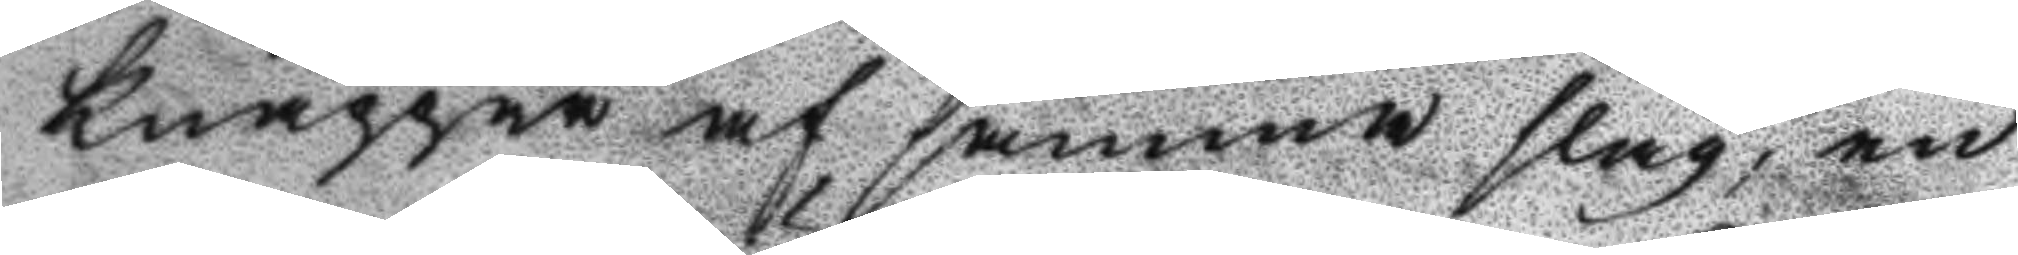knappar af samma slag, en
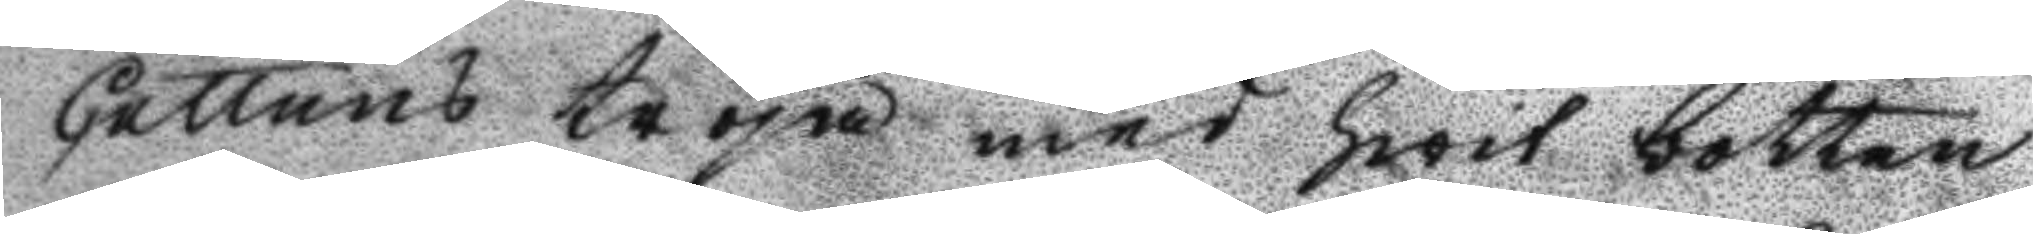Cattuns tröja med hwit botten
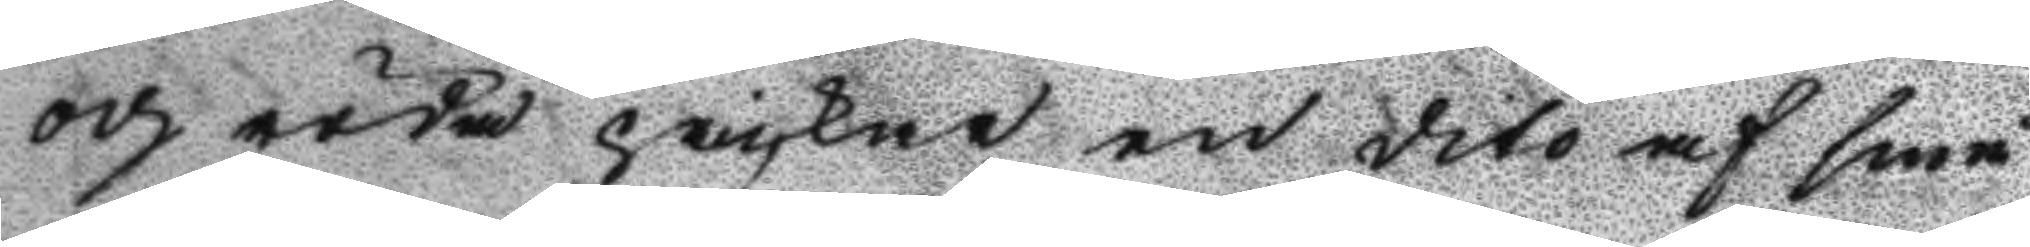och röda prickar en dito af små
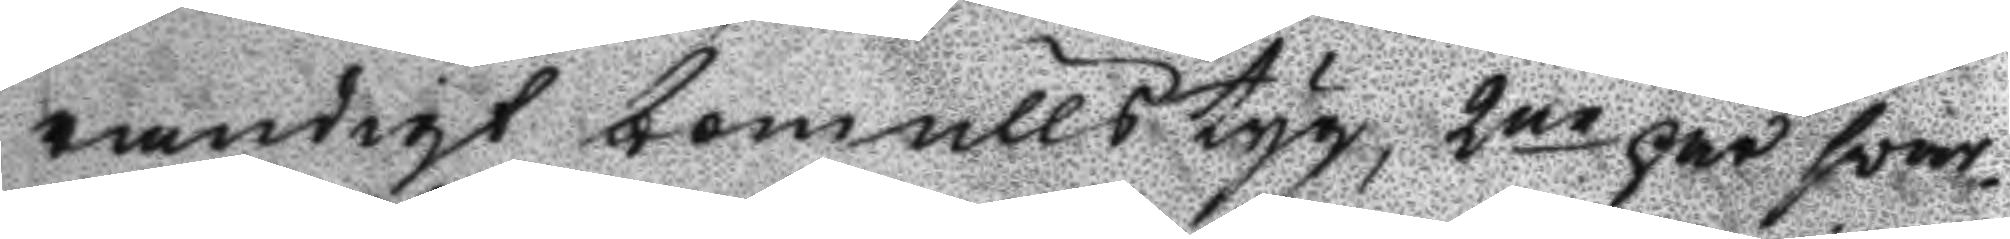randigt bommullstyg, 2ne par swar¬
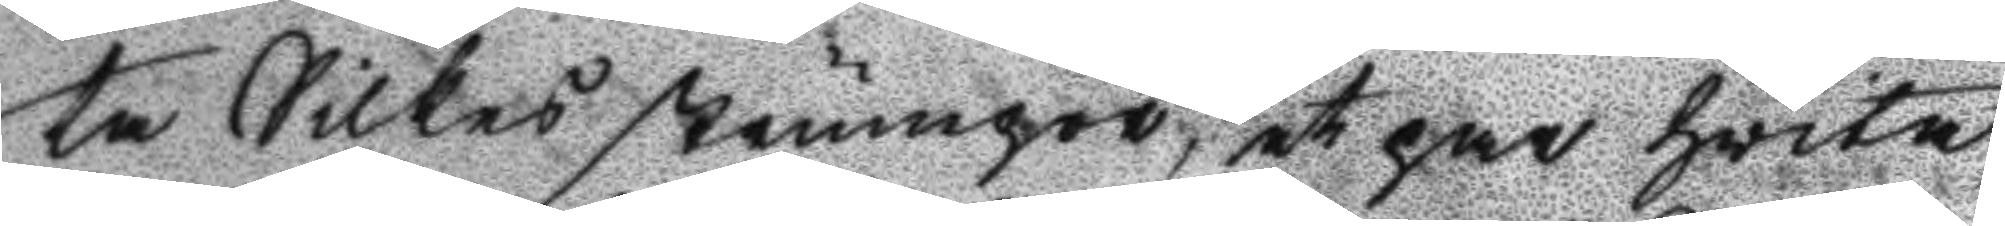ta Silkes strumpor, et par hwita,
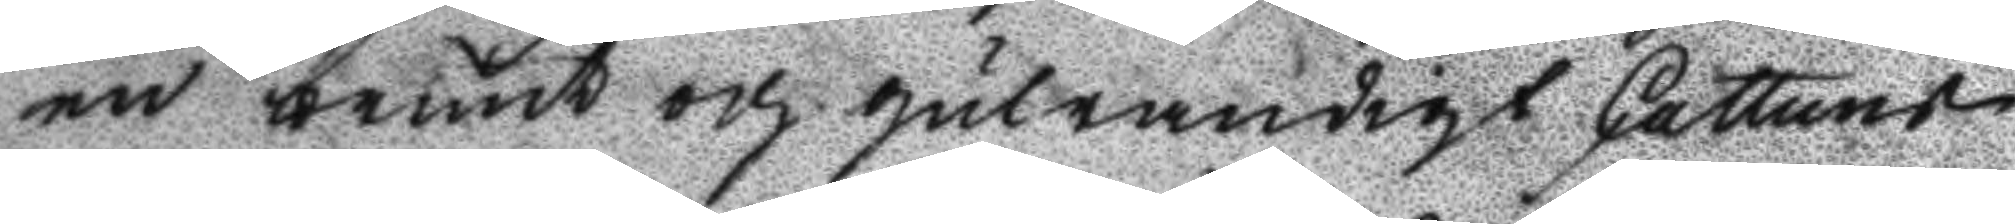en brunt och gulrandigt Cattuns
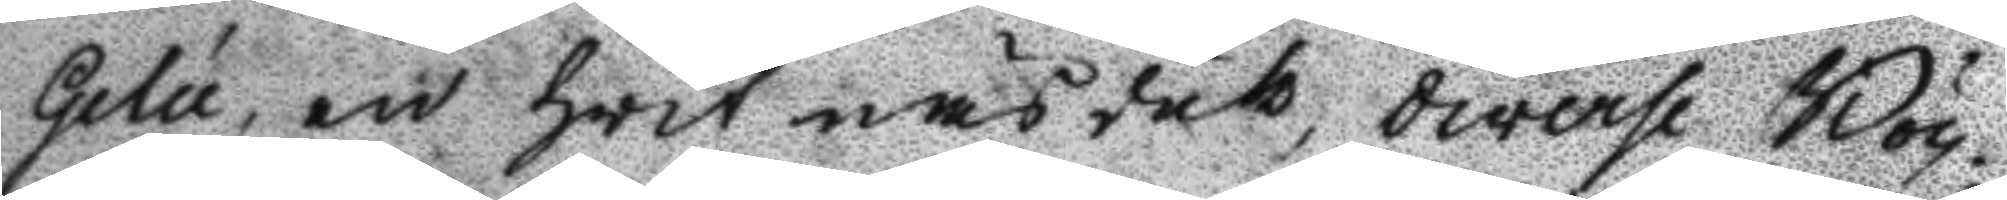Gelu, en hwit näsduk, diverse Böc¬
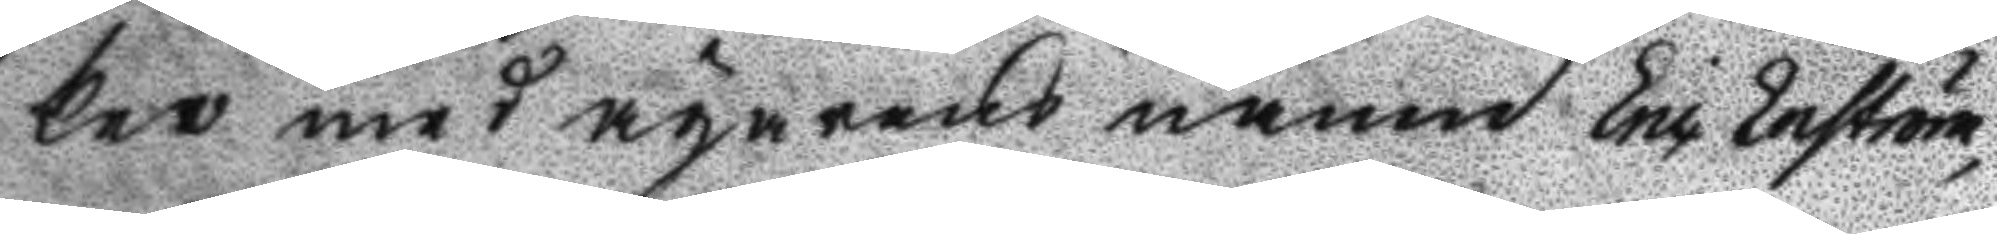ker med ägarens namn Eric Enström,
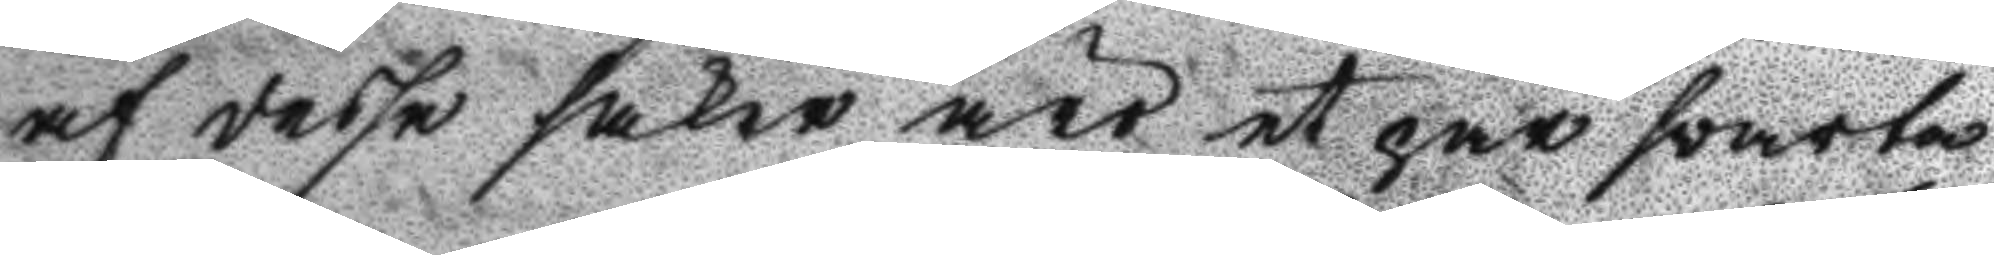af desse saker äro et par wvarta
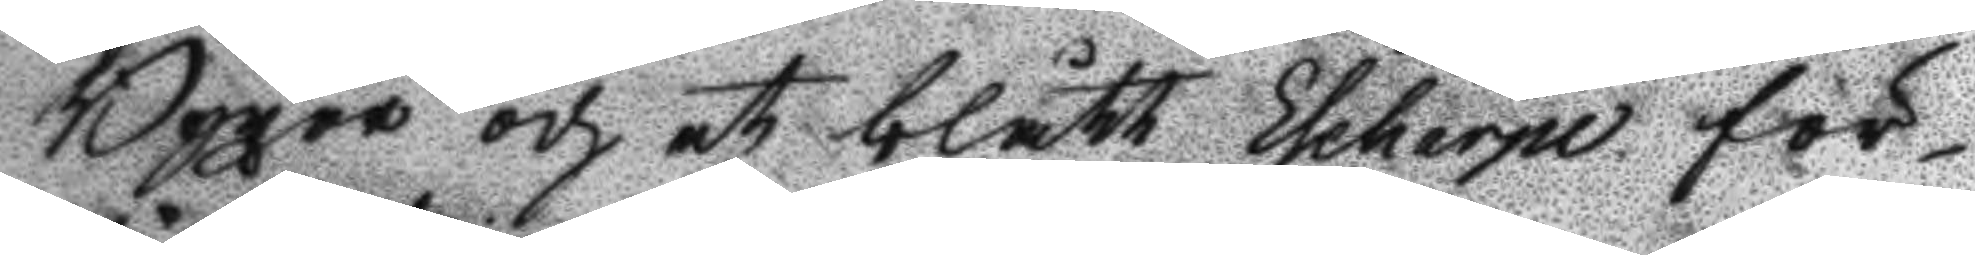Byxor och et blått Eseharpe för¬
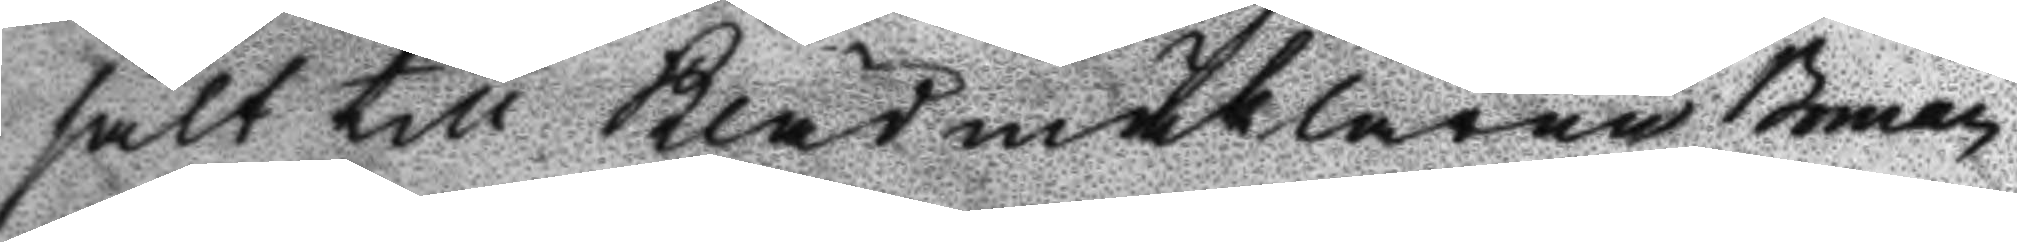sålt till Klädmäklaren Boman
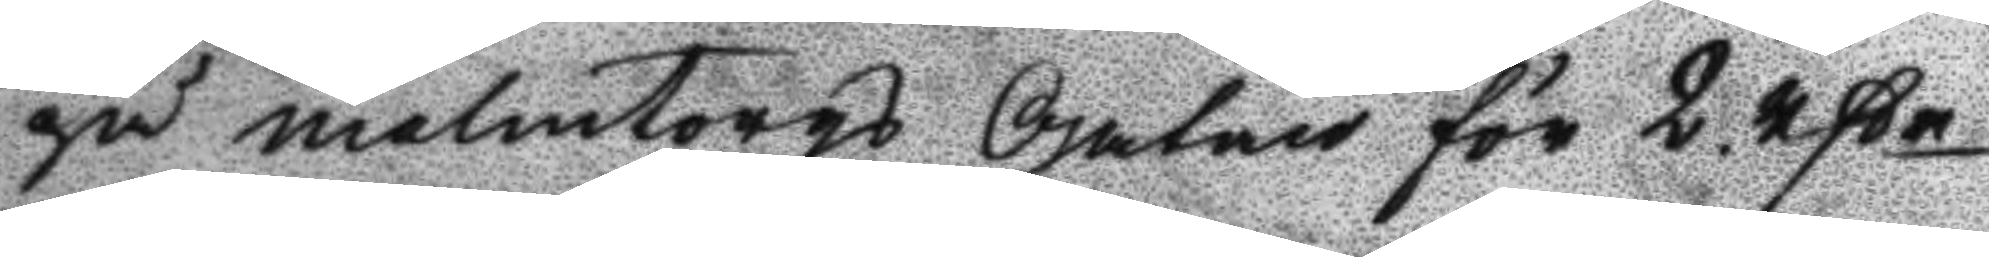på malmtorgs Gatan för 2 Rßr
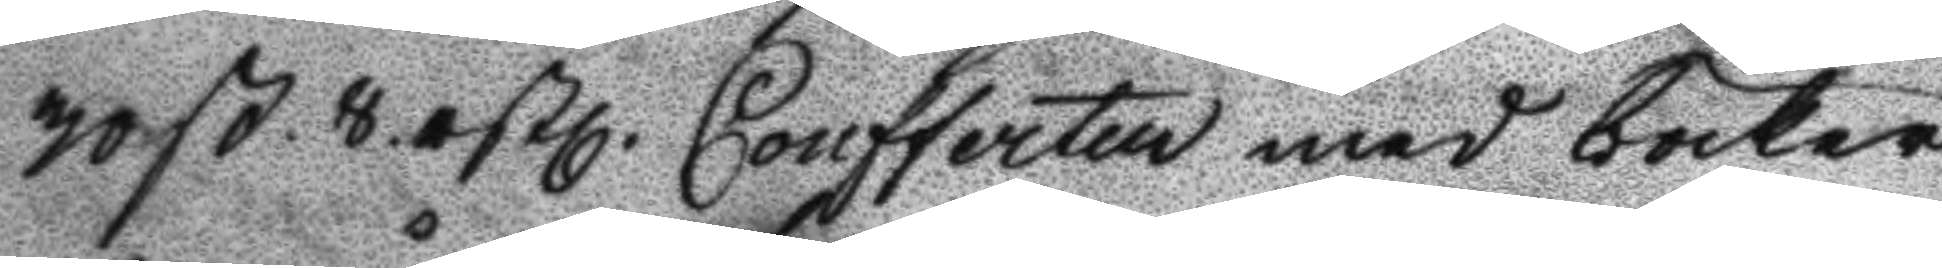30 ß. 8. rßl. Confferten med böcker
